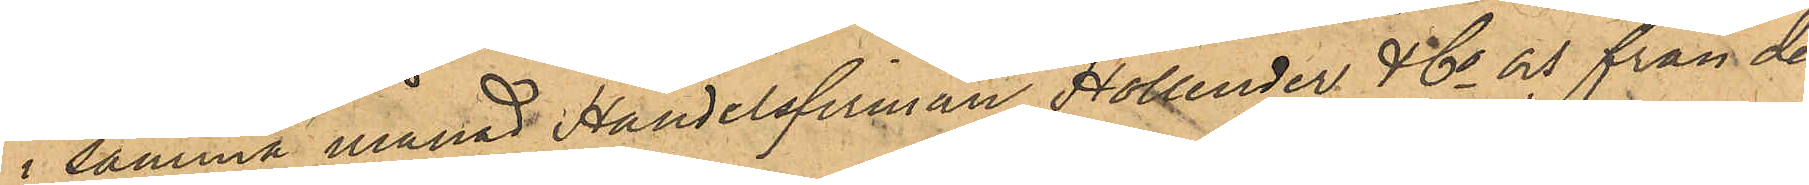i samma månad Handelsfirman Hollender & Co och från den
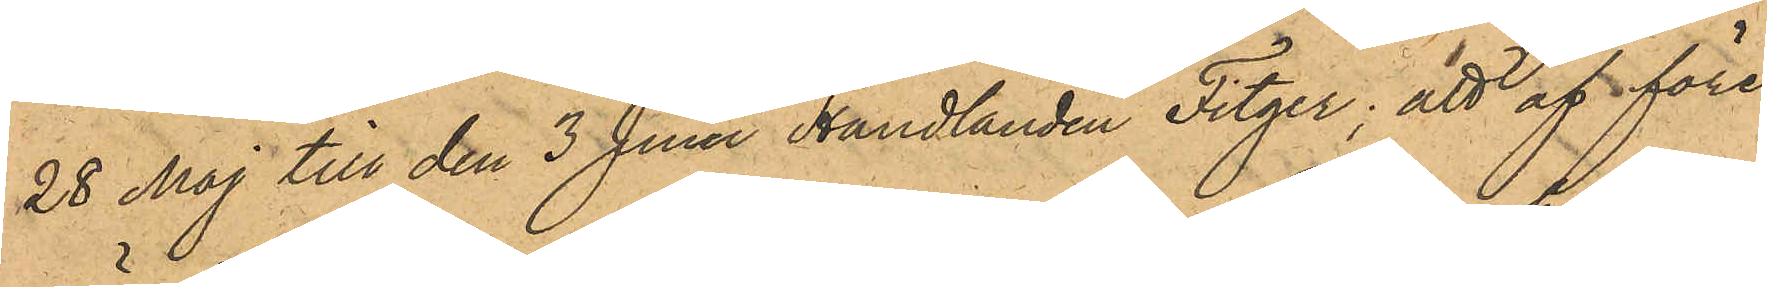28 Maj till den 3 Juni Handlanden Fitger; att af före¬
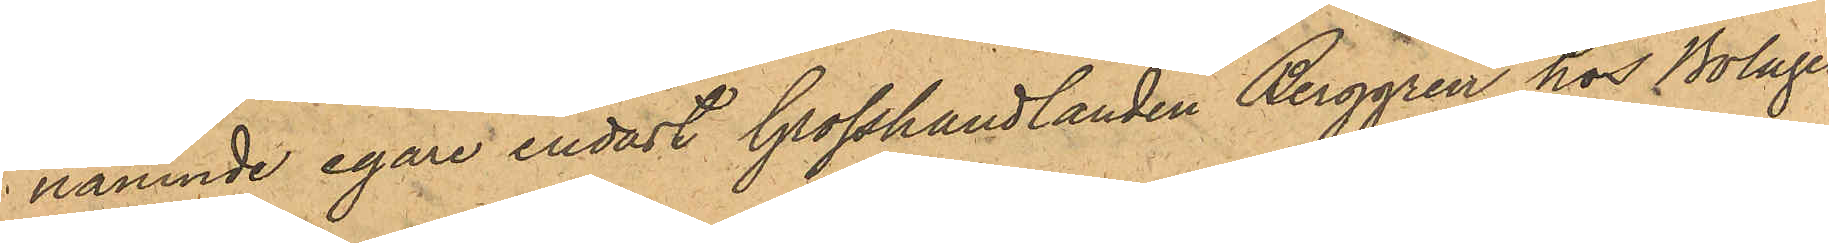nämnde egare endast Grosshandlanden Berggren hos Bolaget
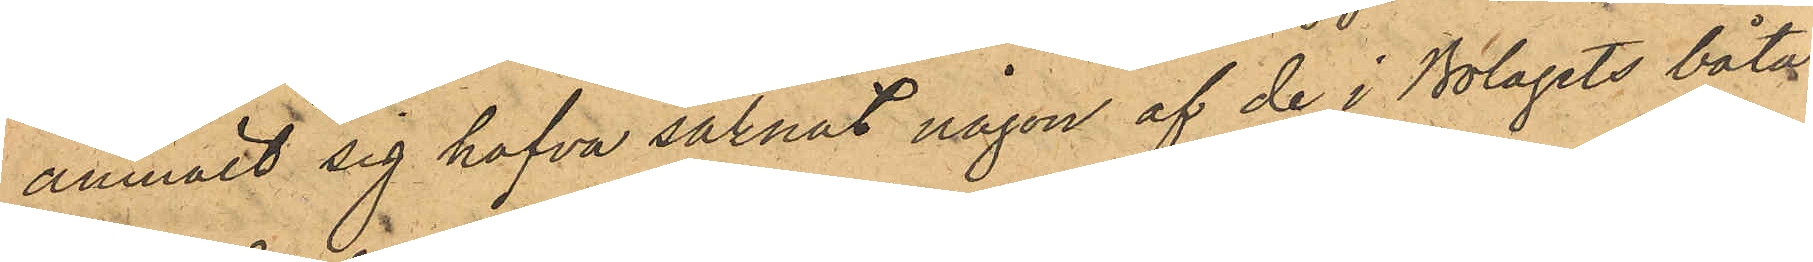anmält sig hafva saknat någon af de i Bolagets båtar
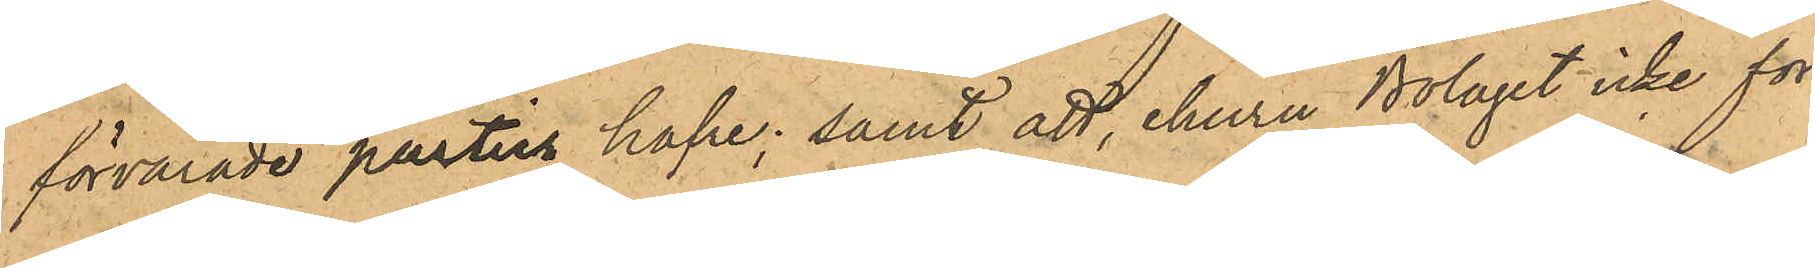förvarade partier hafre; samt att, ehuru Bolaget icke för
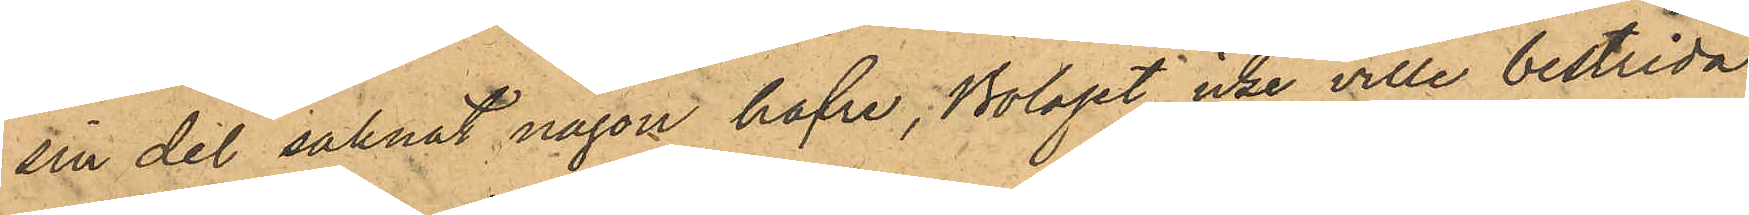sin del saknat någon hafve, Bolaget icke ville bestrida
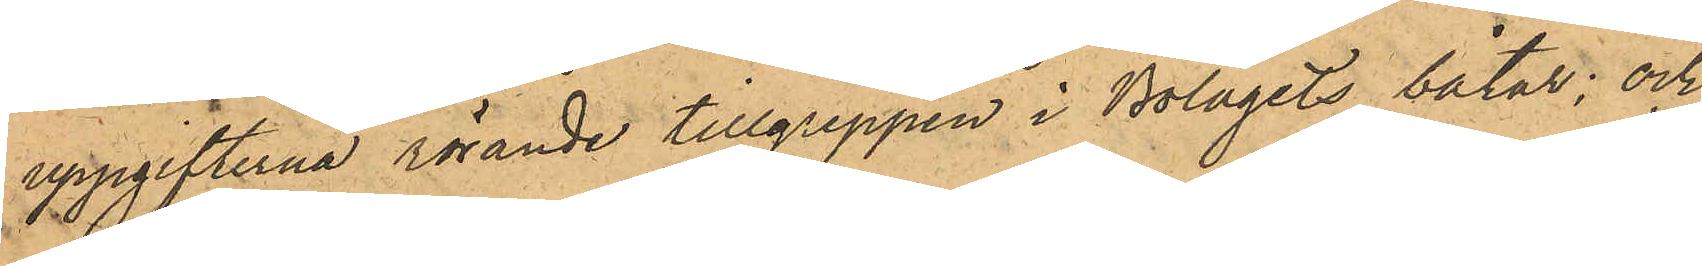uppgifterna rörande tillgreppen i Bolagets båtar; och
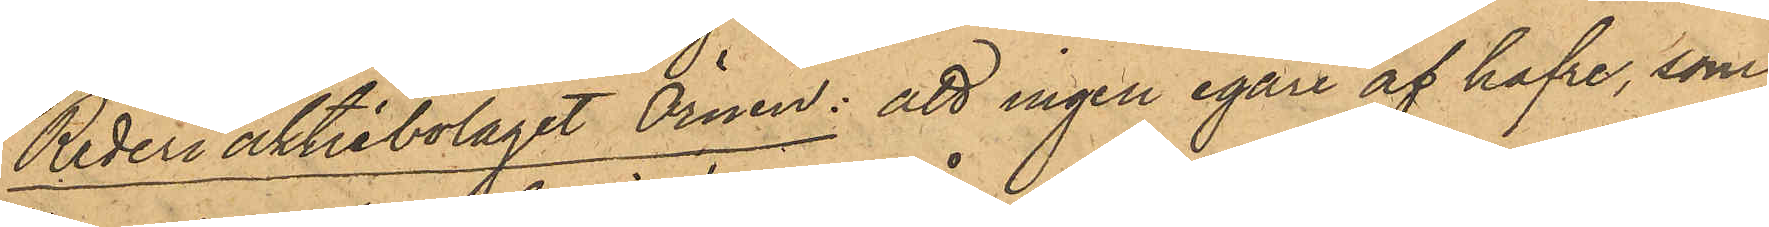Rederi aktiebolaget Örnen: att ingen egare af hafre, som
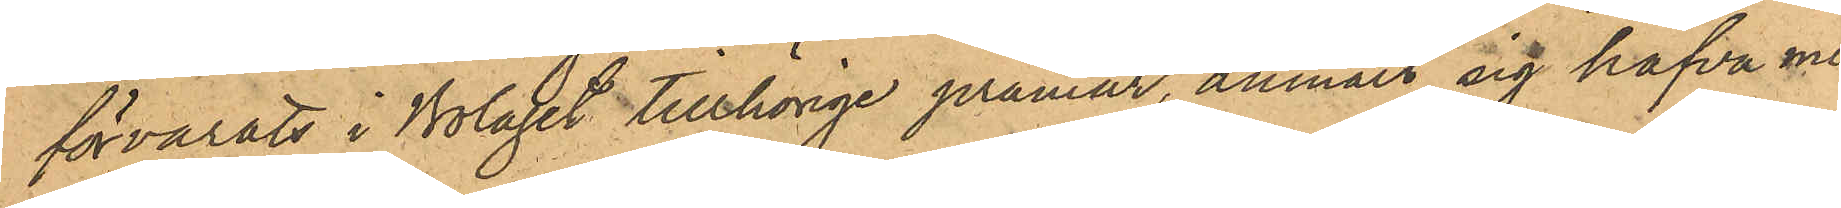förvarats i Bolaget tillhörige pråmar, anmält sig hafva mi¬
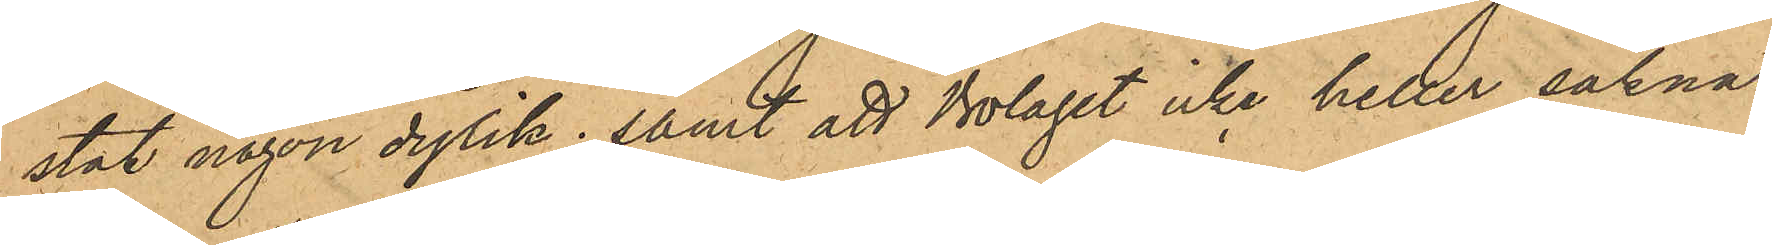stat någon dylik; samt att Bolaget icke heller saknat
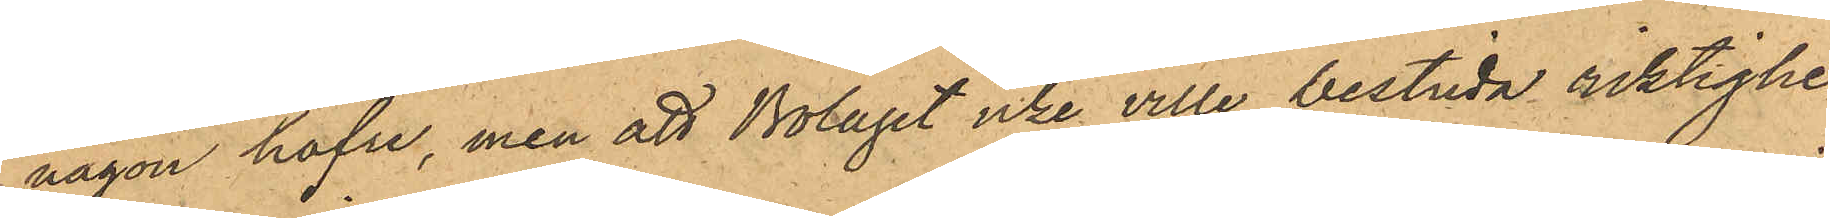någon hafre, men att Bolaget icke ville bestrida riktighe¬
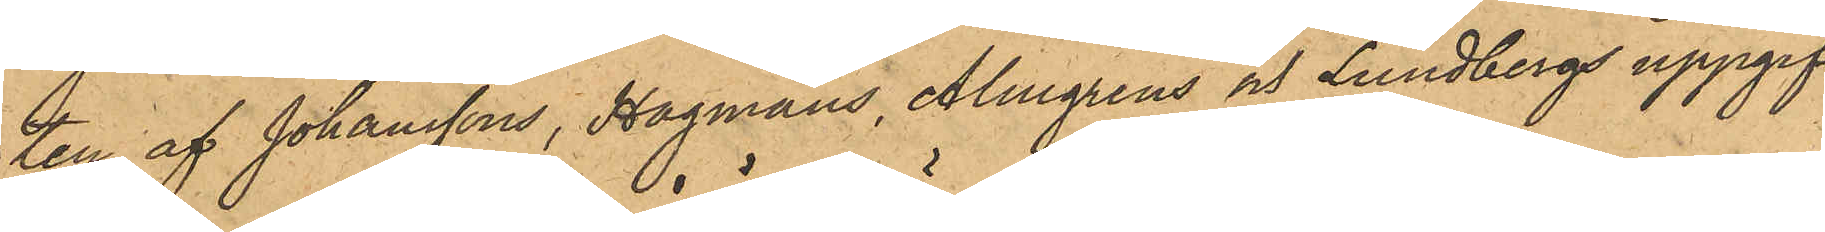ten af Johanssons, Hagmans, Almgrens och Lundbergs uppgif¬
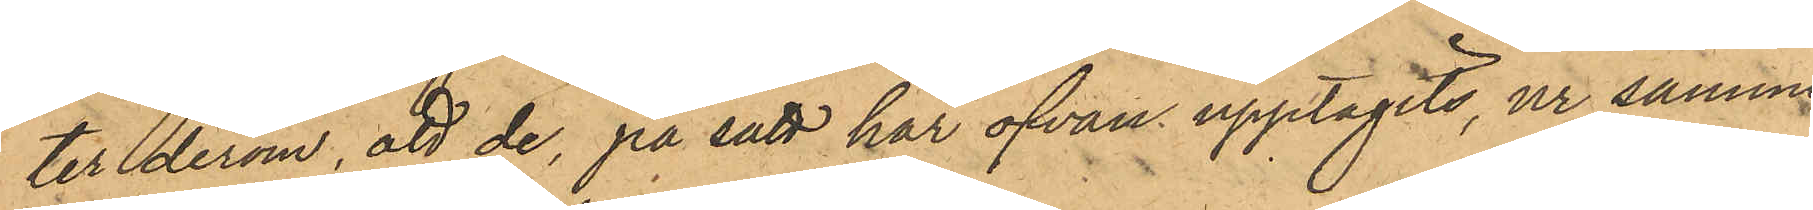ter derom, att de, på sätt har ofvan upptagits, ur samme
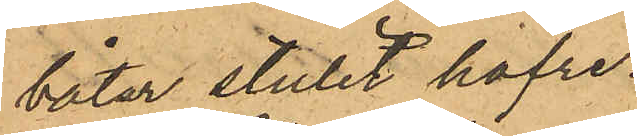båtar stulit hafre.
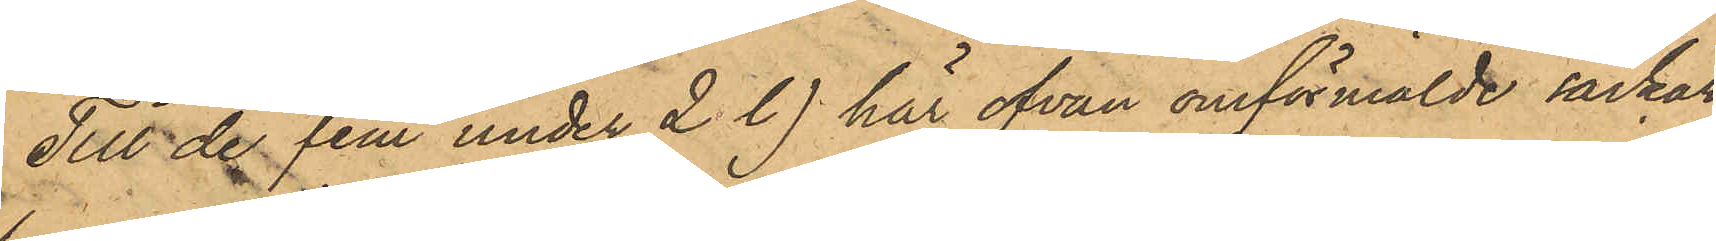Till de fem under 2 l) här ofvan omförmälde säckar
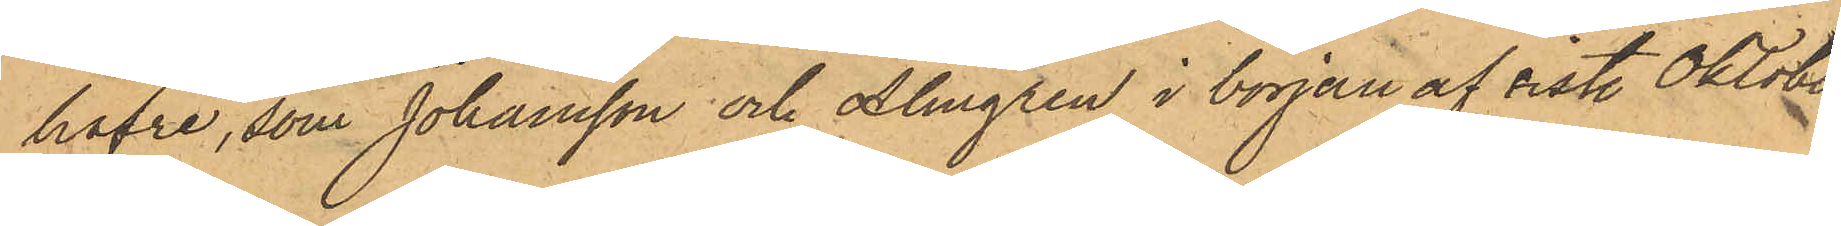hafre, som Johansson och Almgren i början af sist. Oktober
